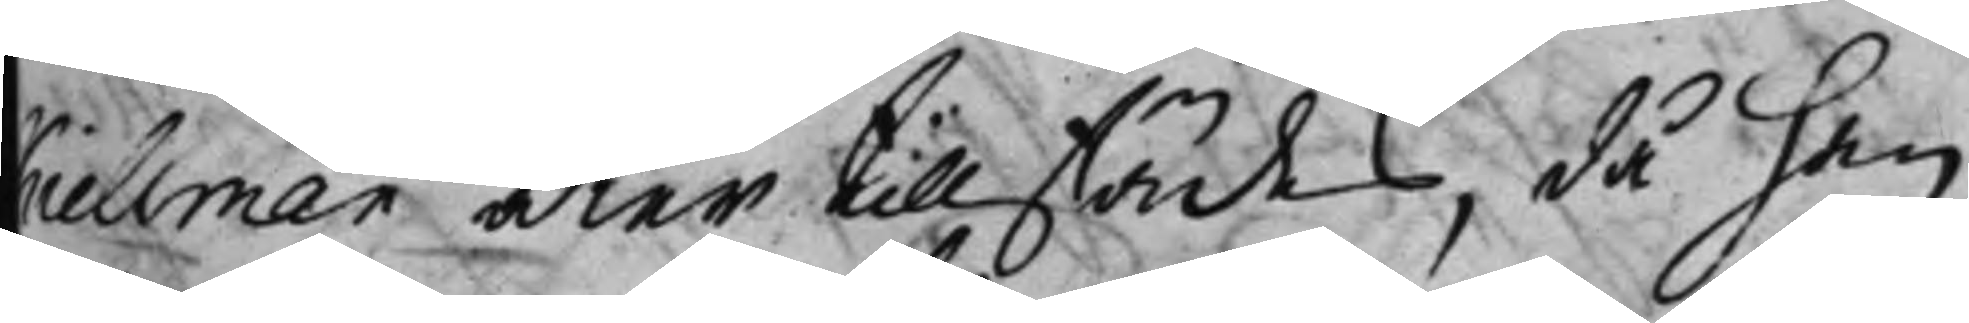Kiellman åter till städes, då han
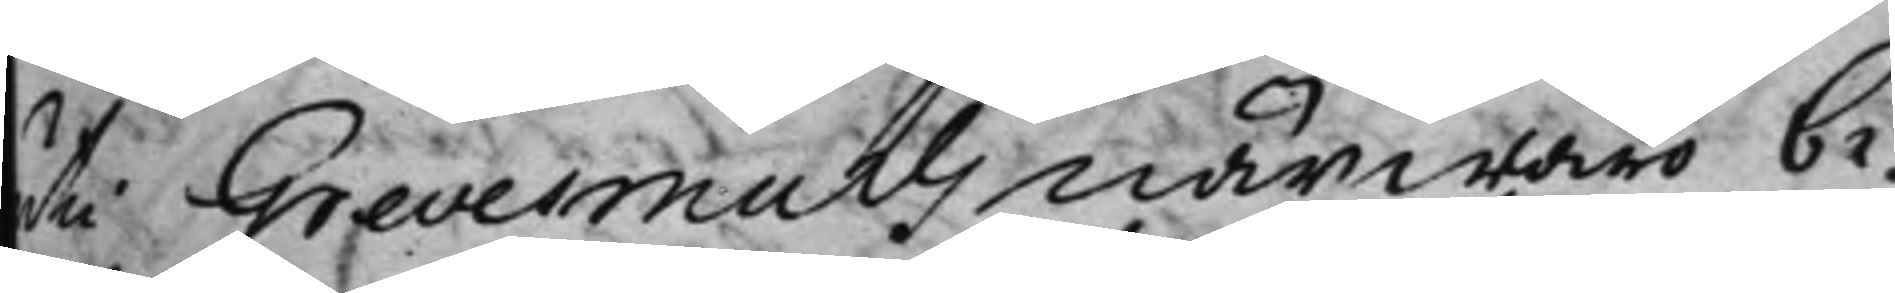uti Grevermuhls närwaro be¬
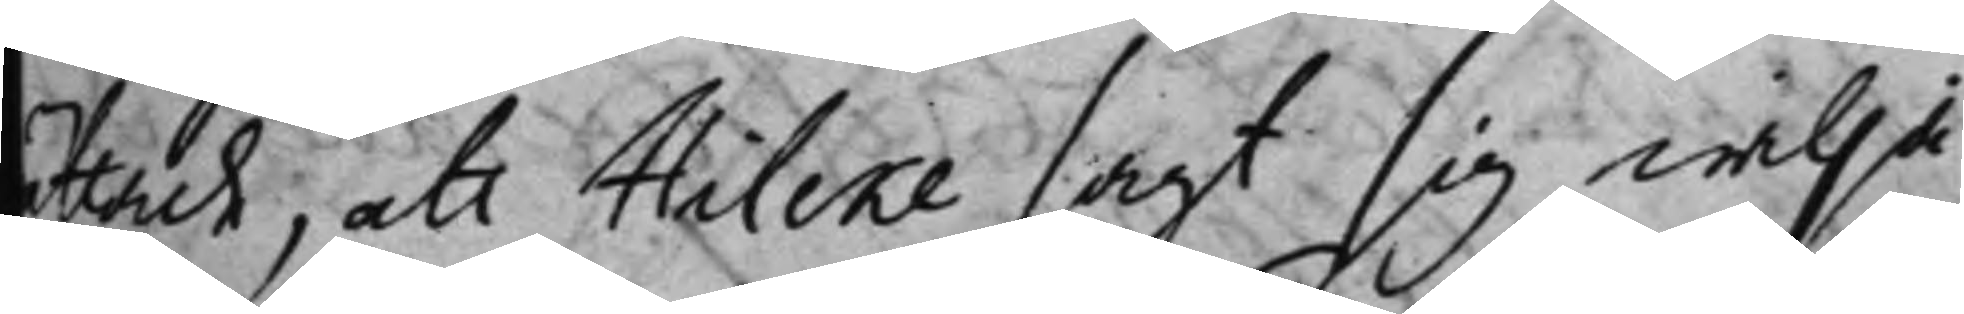ättade, att Hilcke sagt sig wilja
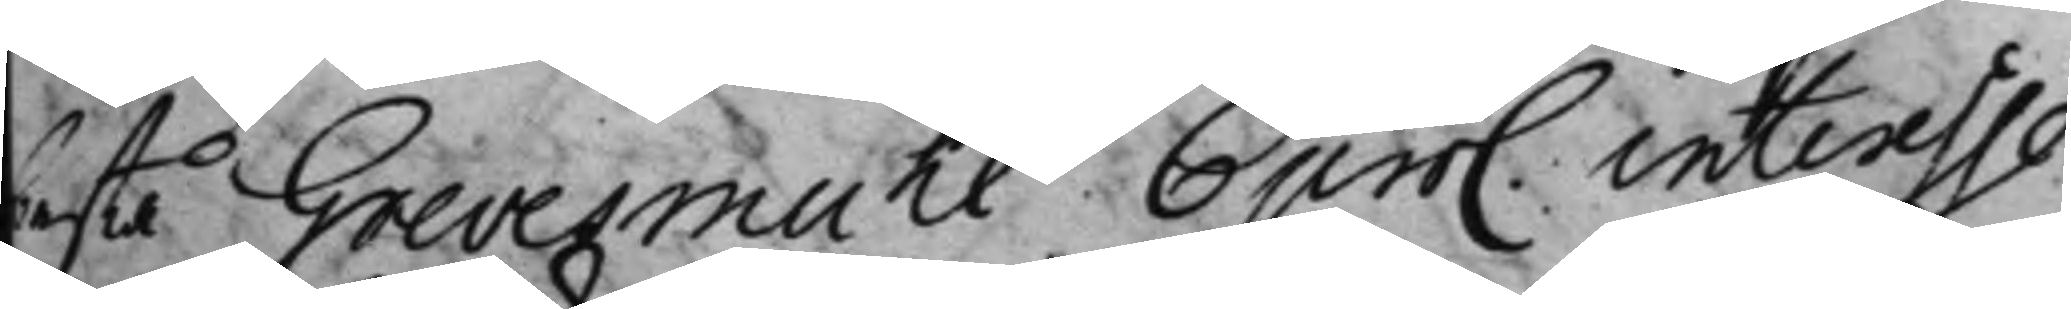bestå Grevesmuhl bem. interesse
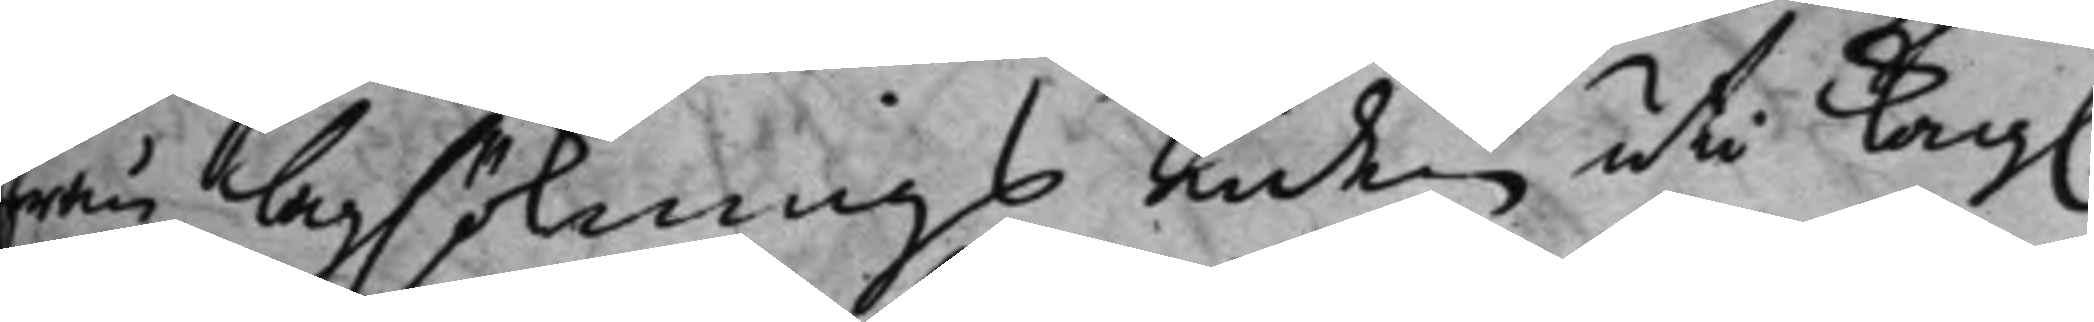från lagsöknings tiden uti Kong.
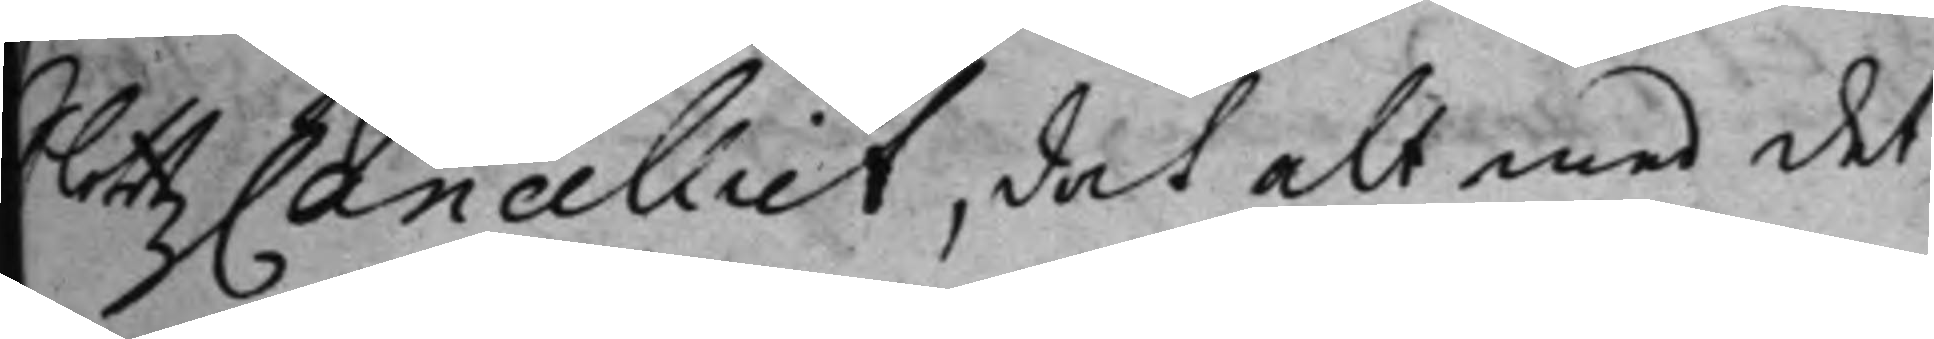SlottzCancelliet, det alt med det
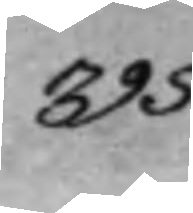395
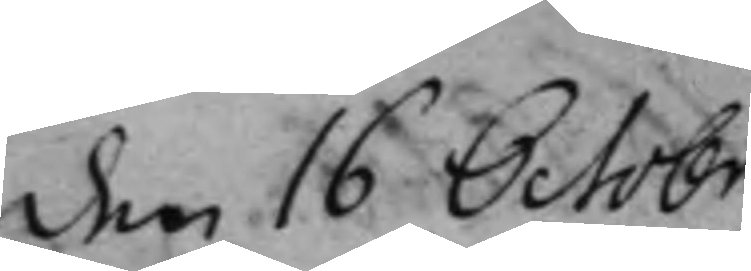den 16 Octobr.
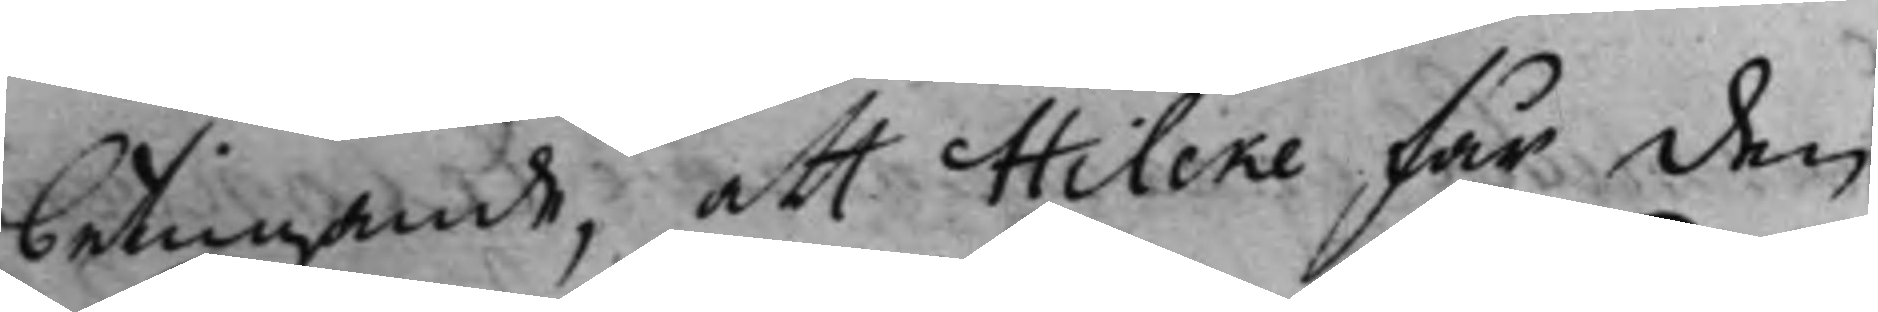betingande, att Hilcke får den
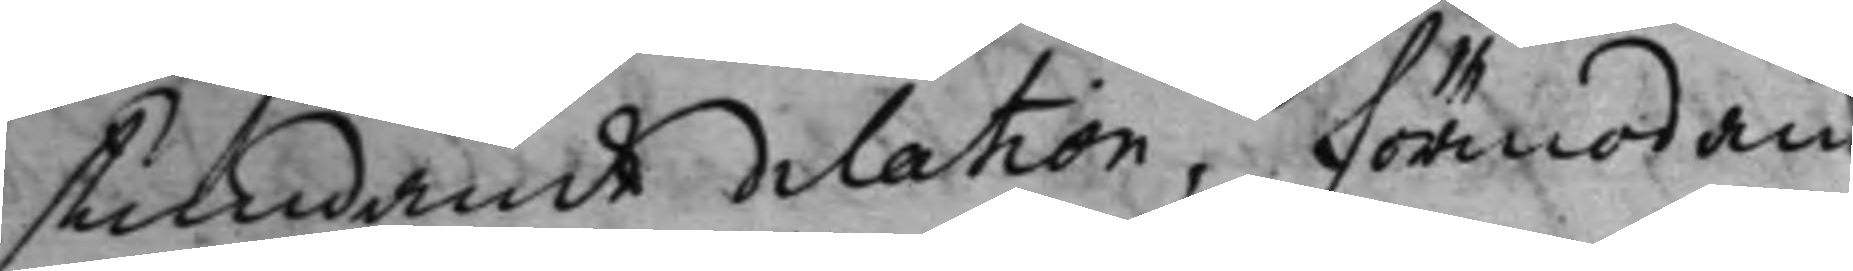stundande dilation, förmodan
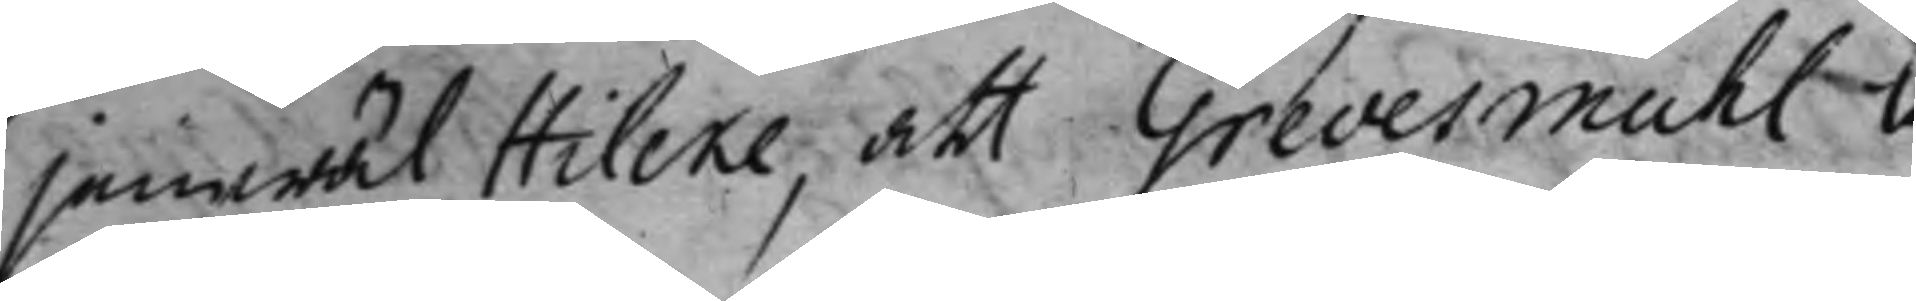jämwäl Hilcke, att Grevesmuhl l
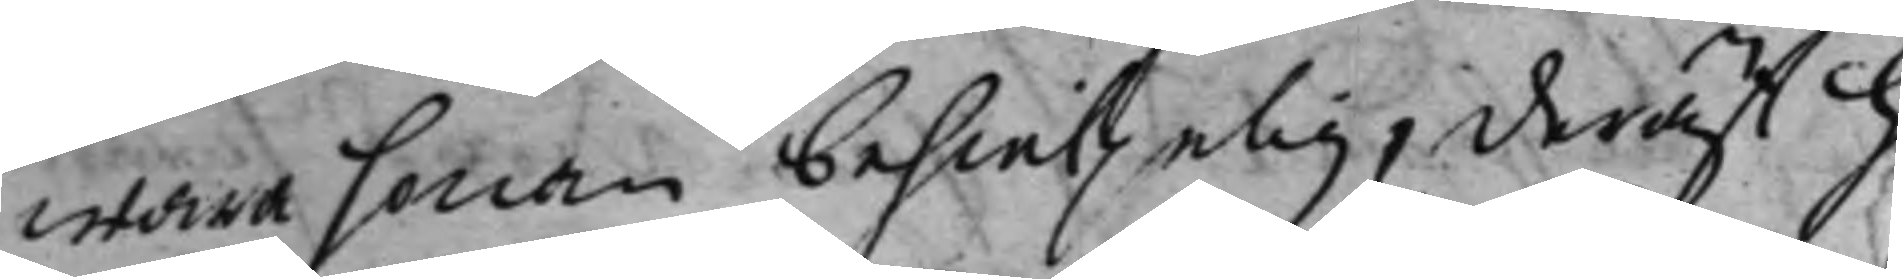wara honom behielpelig, deräst h
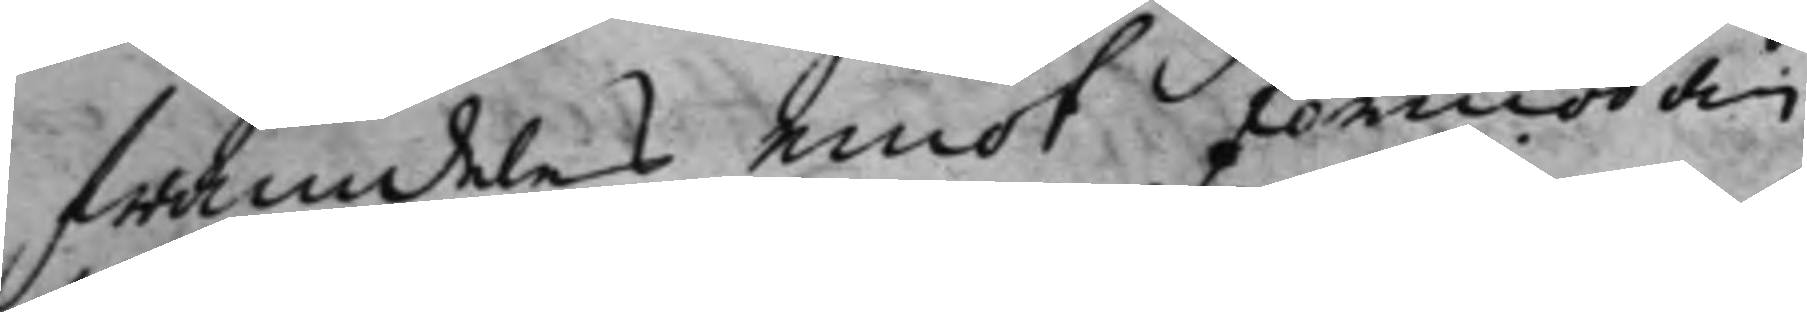framdeles emot förmodan
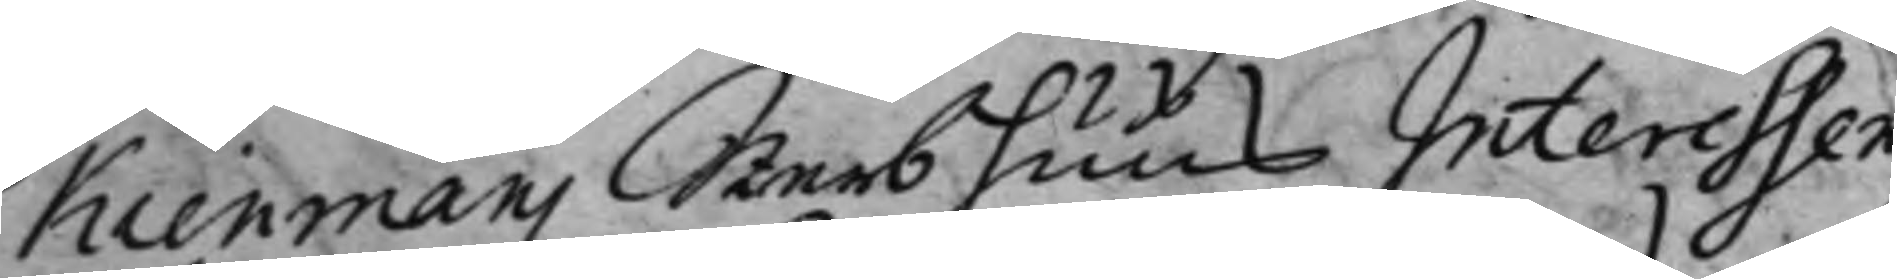Kienmans Sterbhuus Interessen
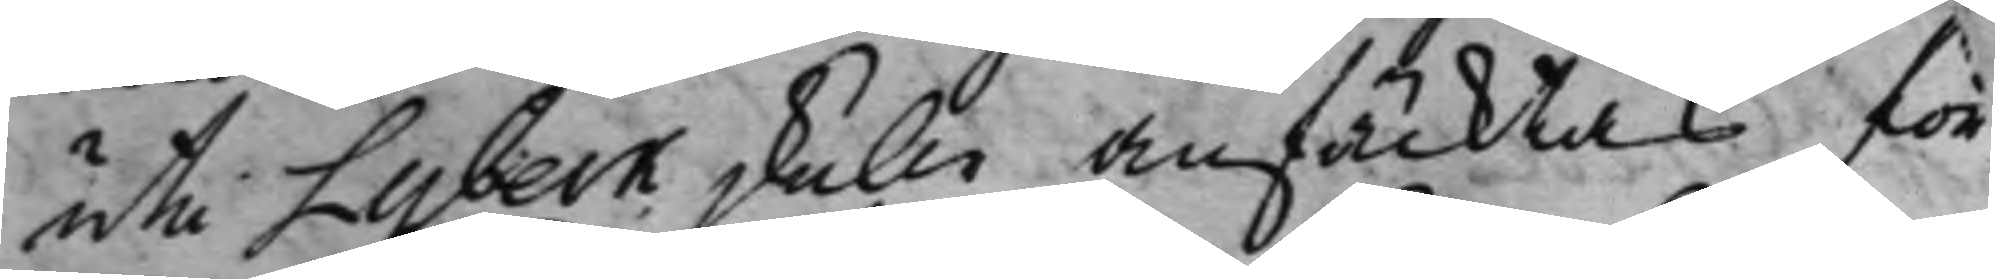uti Lybeck skulle anfäcktas, för
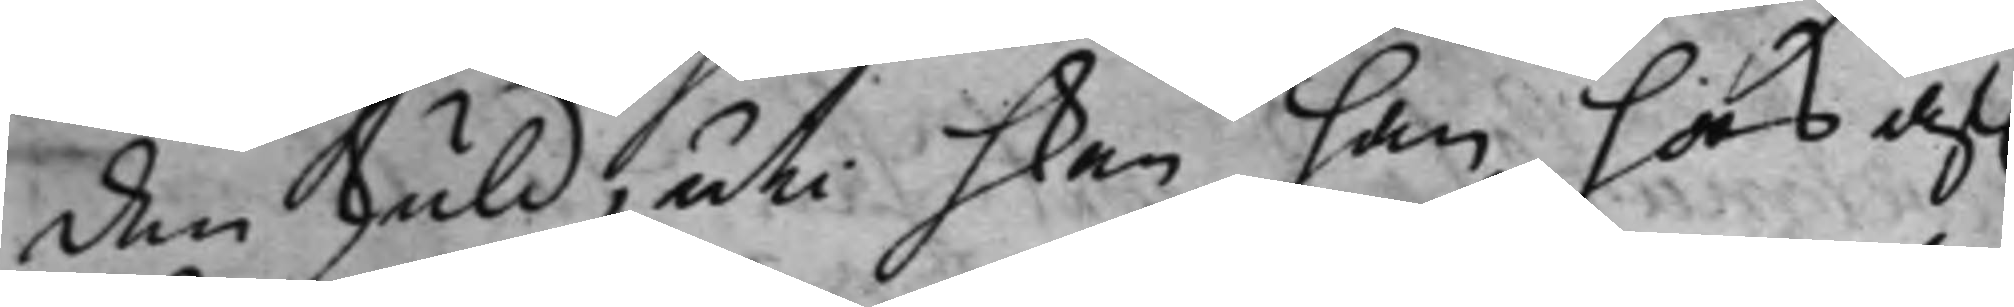den skuld, uti hken han hos af.
